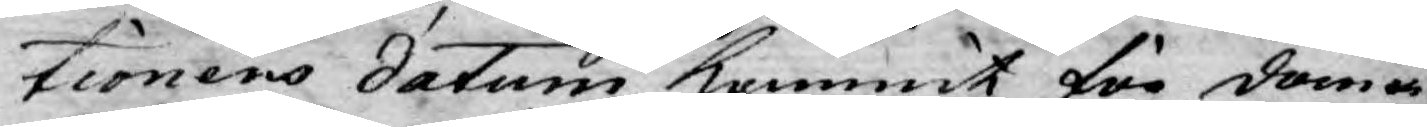tionens datum kommit för doma¬
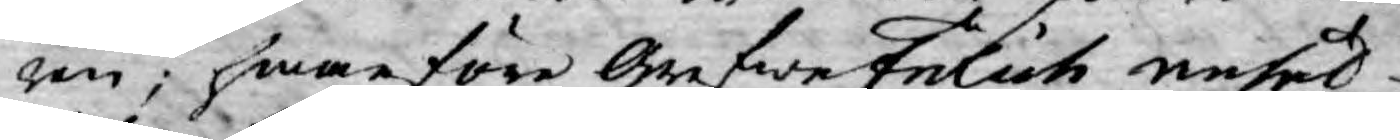ren; hwarföre Grefwe Frölich anhål¬
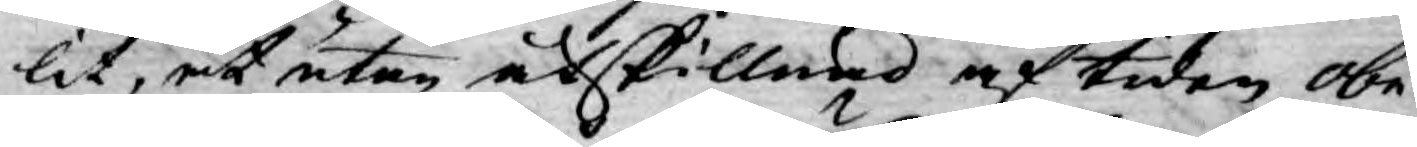lit, at utan åtskillnad af tiden obe¬
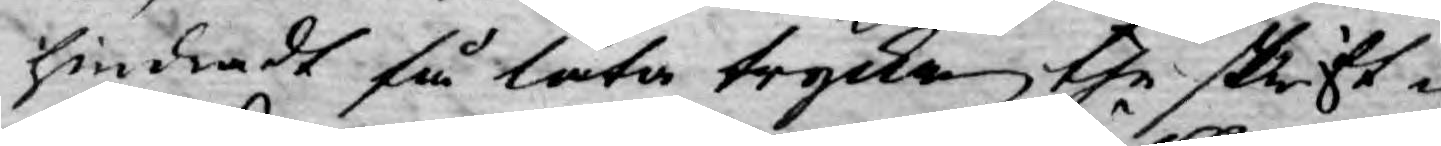hindradt få låta trycka the skrift¬
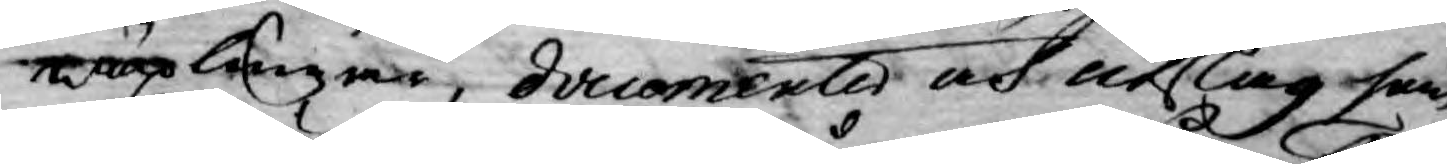wäxlingar, documente och utslag som
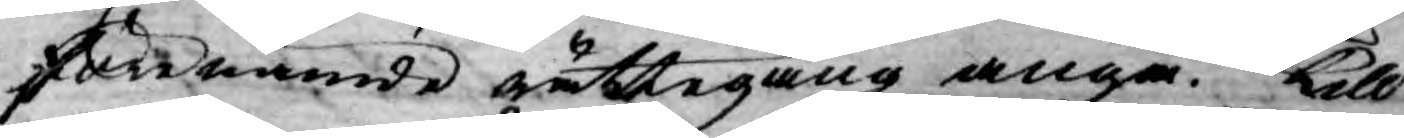förnämde rättegång angå. Till
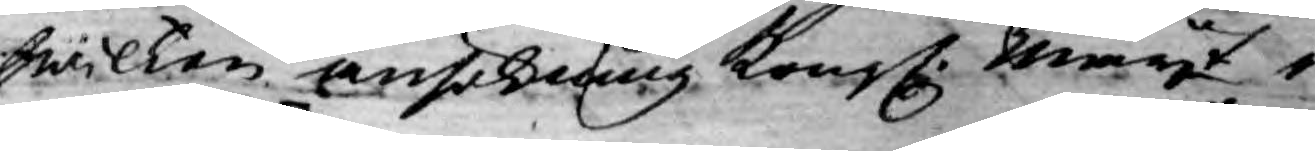hwilken ansökning Kongl. Mayt i
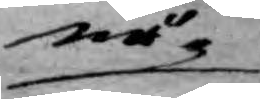nå¬
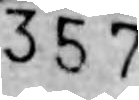357
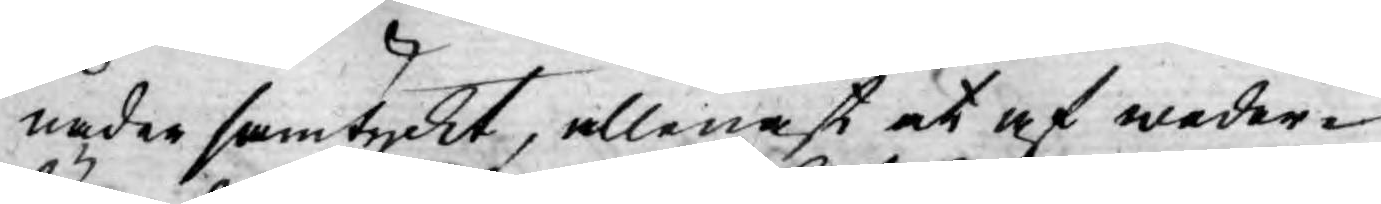nåder samtyckt, allenast at af weder¬
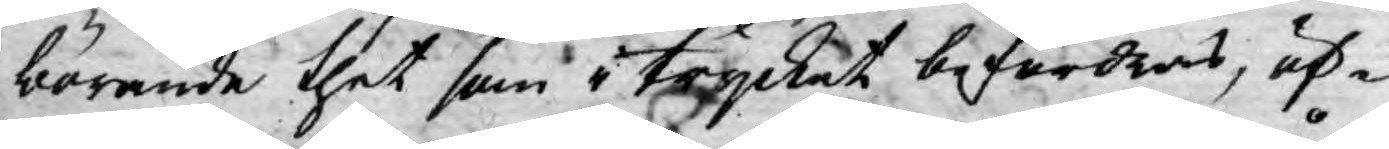börande thet som i trycket befordras, öf¬
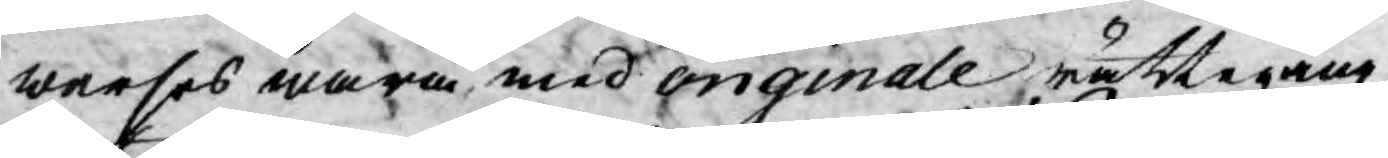werses wara med originale rättegång
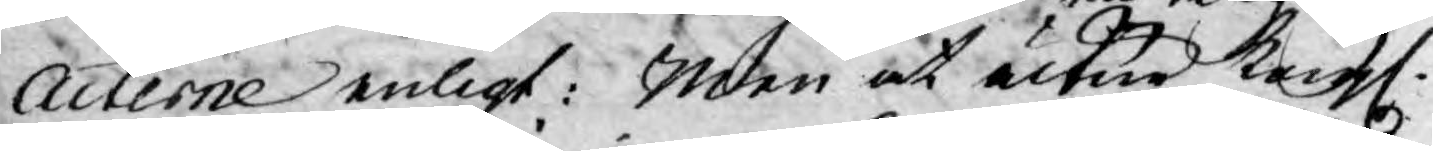Acterne enligt: Men at utur Kongl.
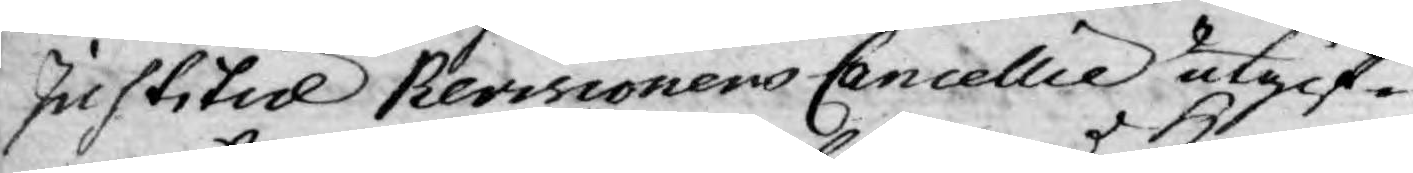Justitie Revisionens Cancellie utgif¬
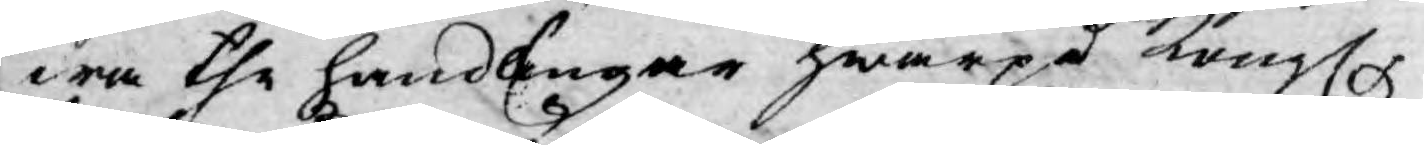wa the handlingar hwarpå Kongl.
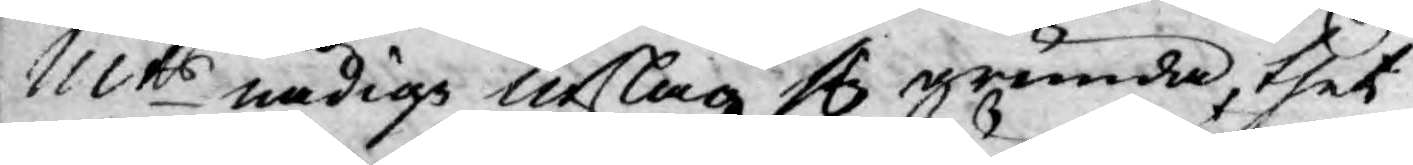Mts nådige utslag sig grunda, thet
